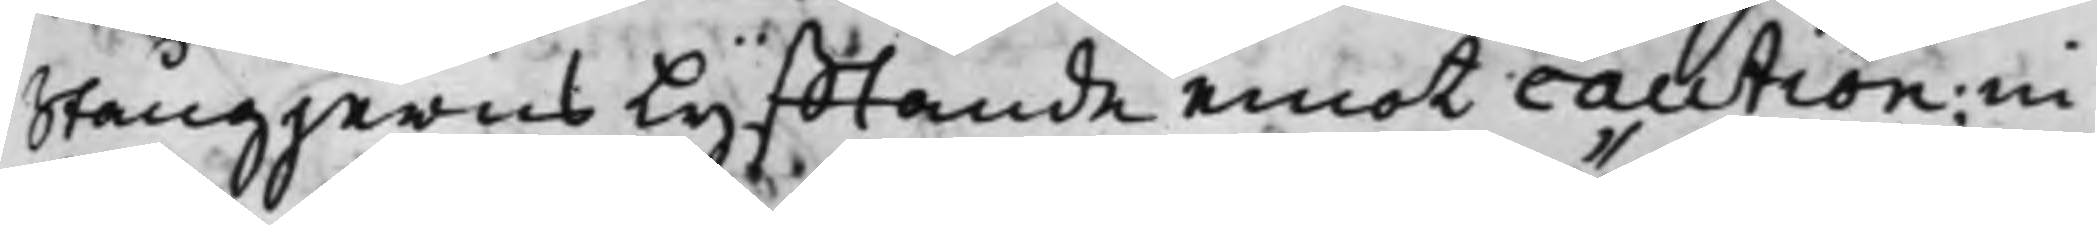Stångjerns Lyfftande emot caution, in¬
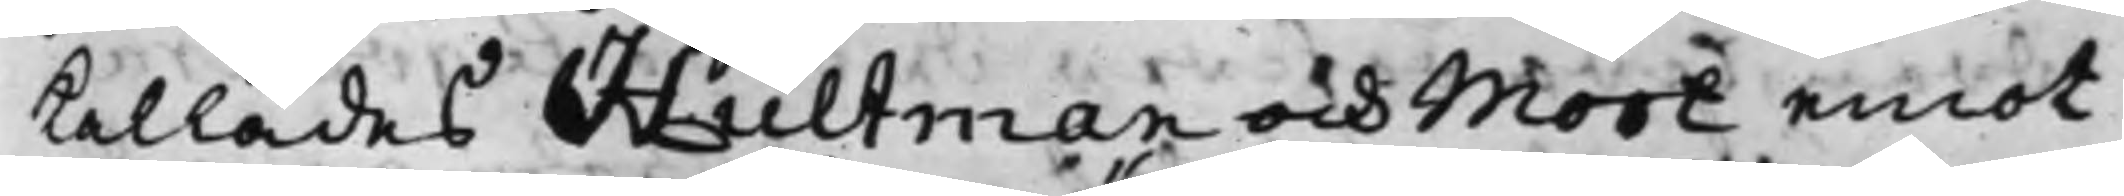kallades Hultman och Mört emot
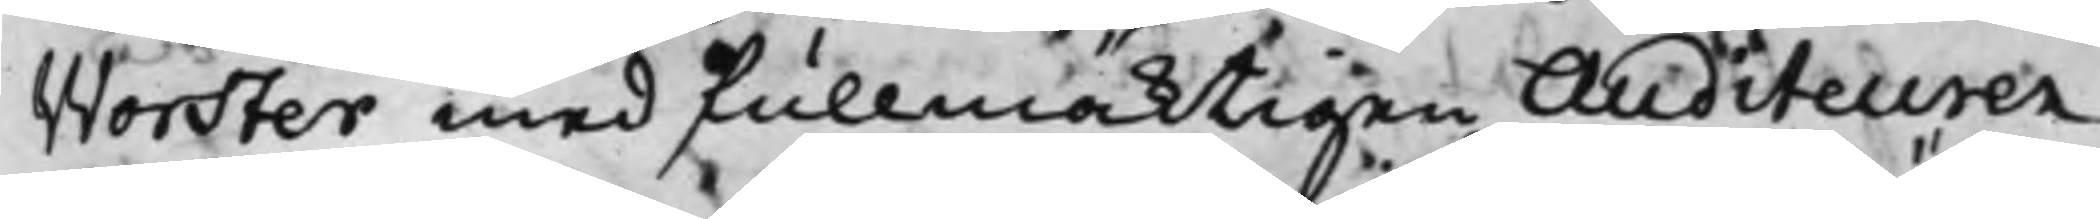Worster med fullmäktigen Auditeuren
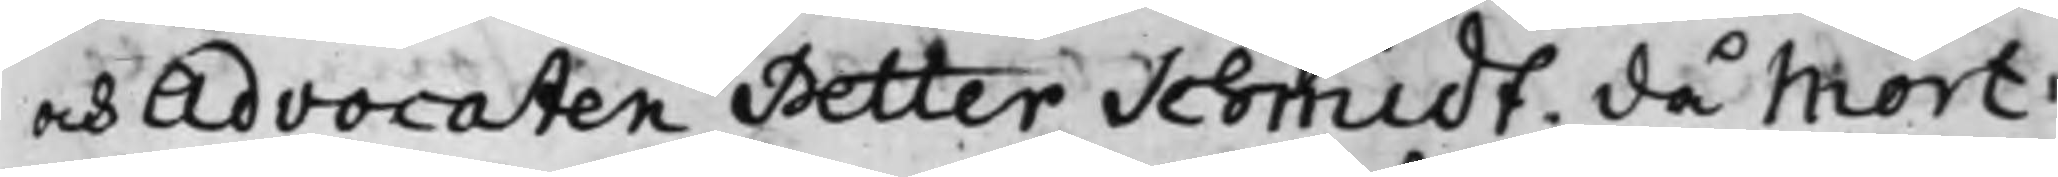och Advocaten Petter Schmidt. då Mört
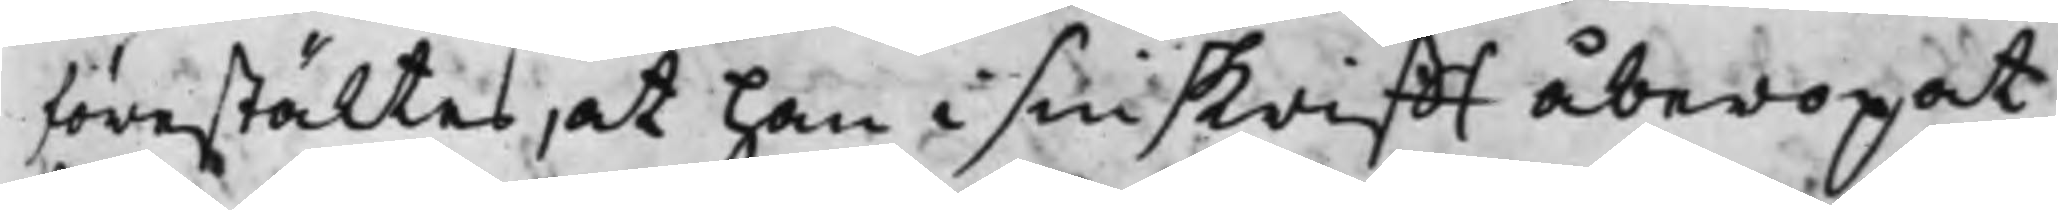förestältes, at han i sin skrifft åberopat
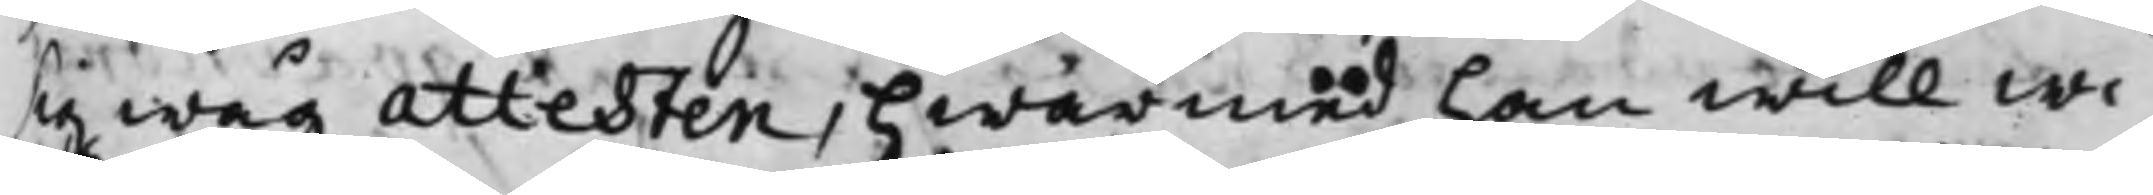sig wåg attesten, hwarmed han will wi¬
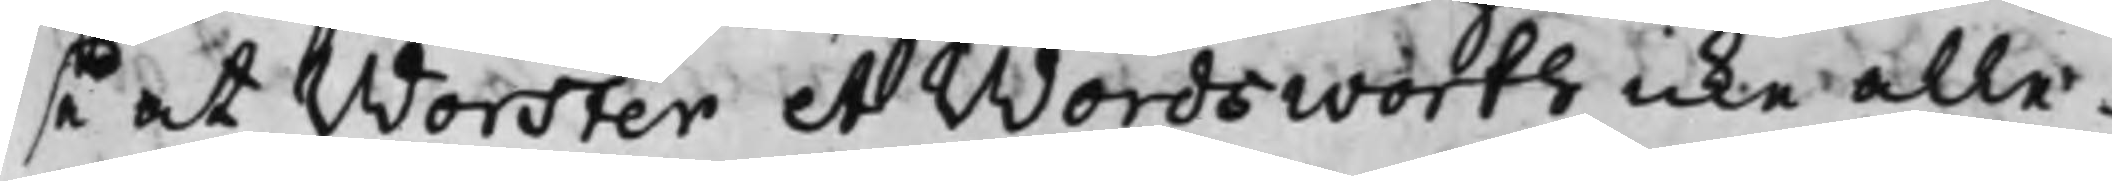se at Worster et Wordsworth icke alle¬
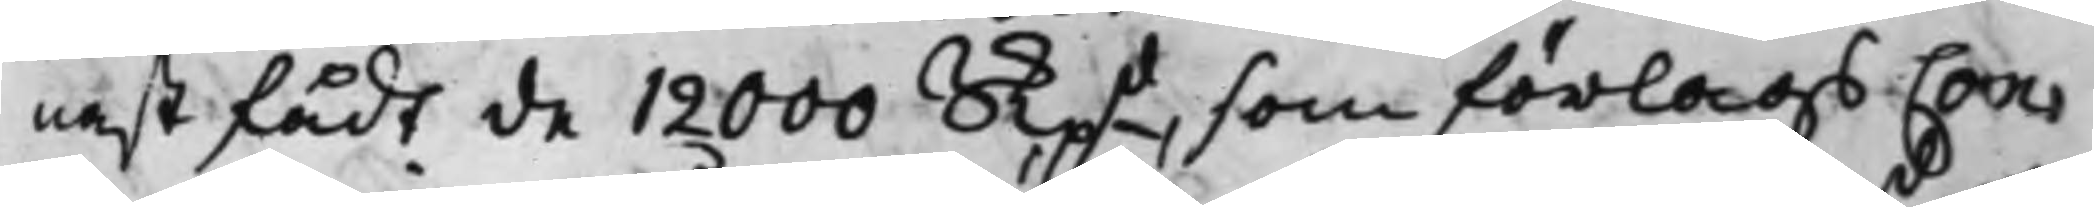nast fådt de 12000 Skpd som förlags Con¬
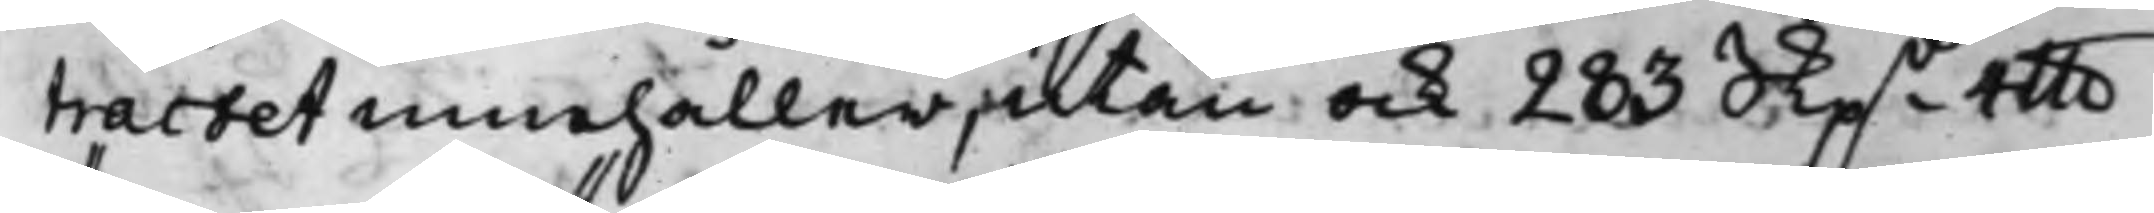tractet innehåller, utan ock 283 Skpd 4 llb
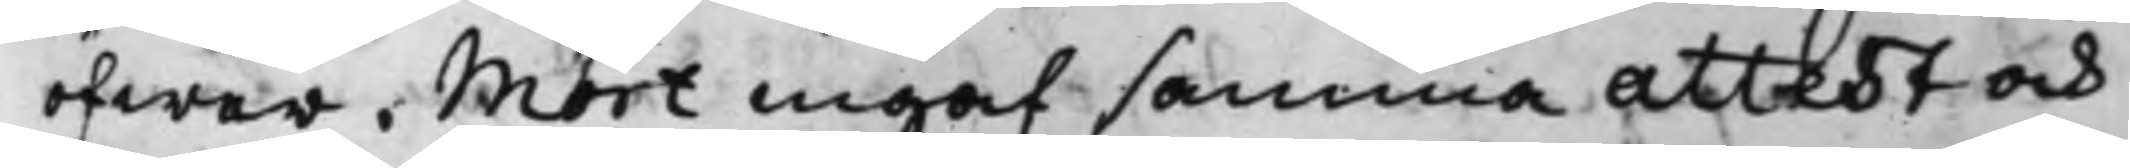öfwer. Mört ingaf samma attest och
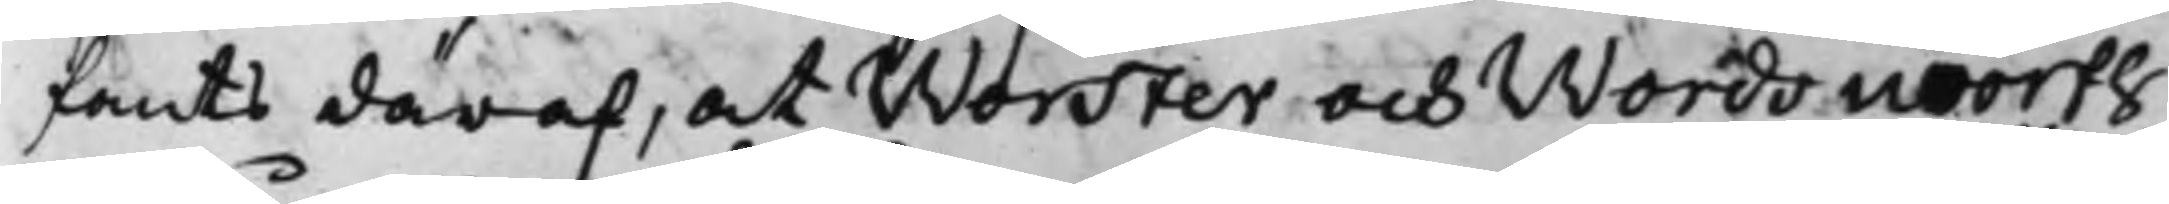fants däraf, at Worster och Wordsworth
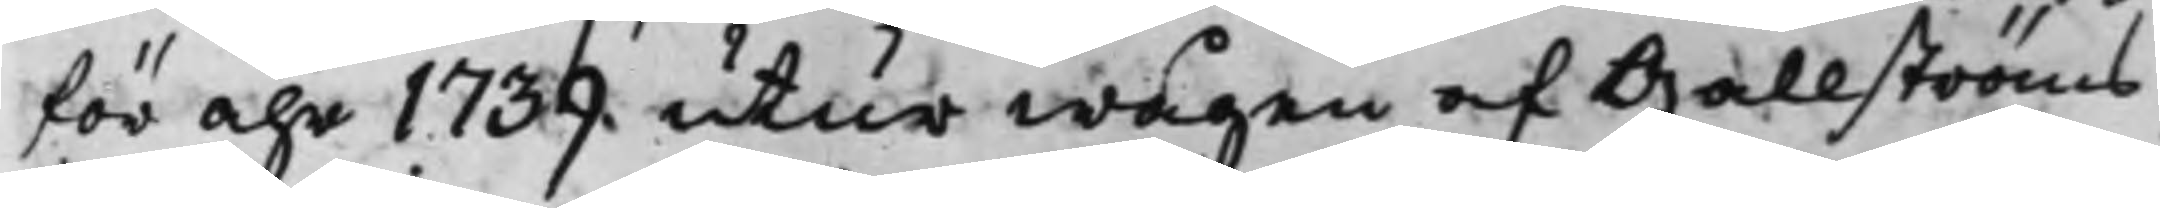för åhr 1739. utur wågen af Gallströms
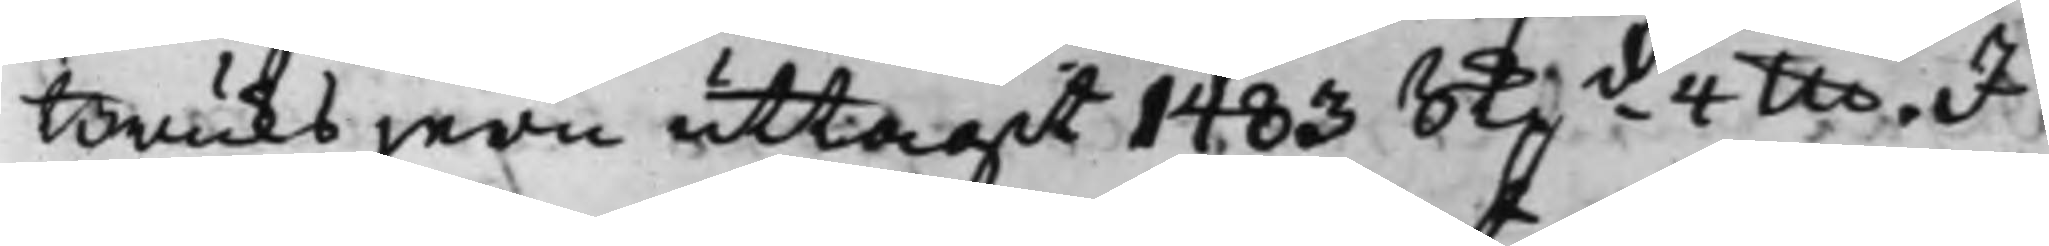Bruks jern uttagit 1483 Skpd 4 llb. I
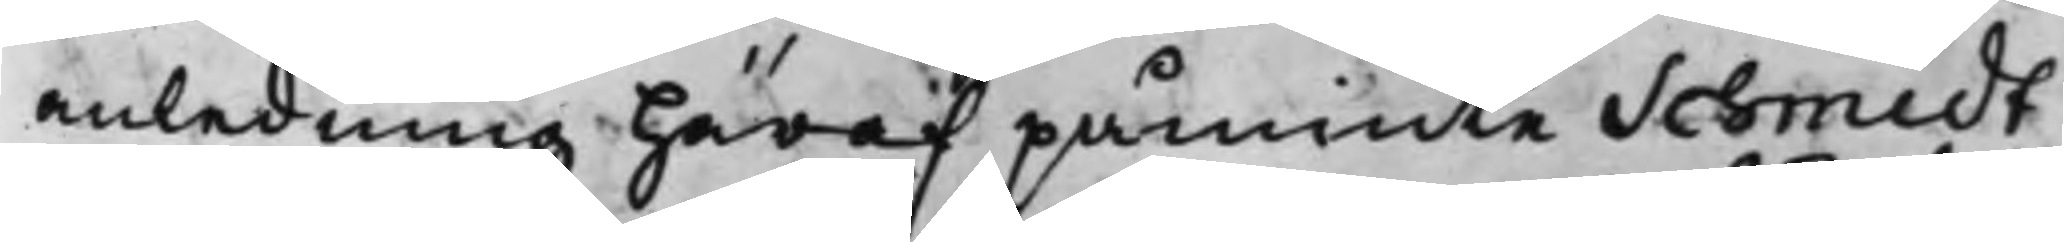anledning häraf påminte Schmidt
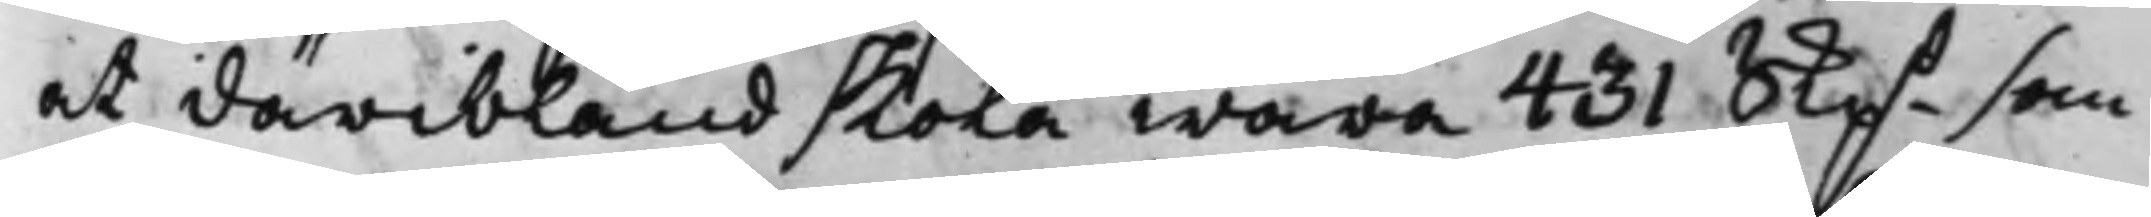at däribland skola wara 431 Skpd som
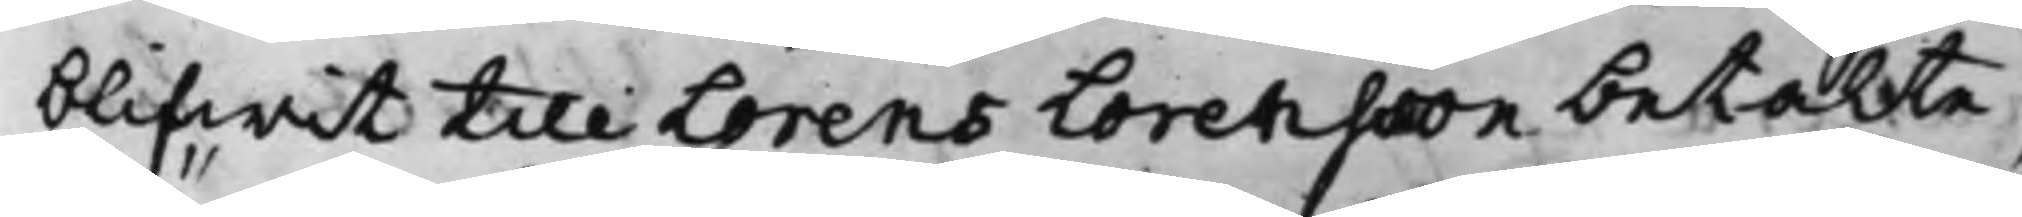blifwit till Lorens Lorensson betalte,
